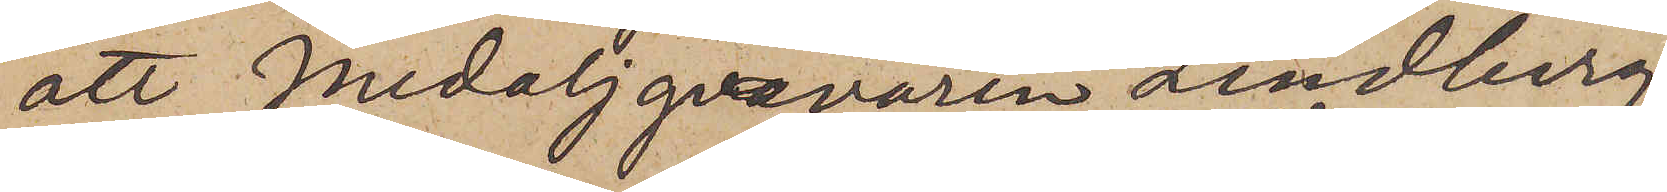att Medaljgravören Lindberg
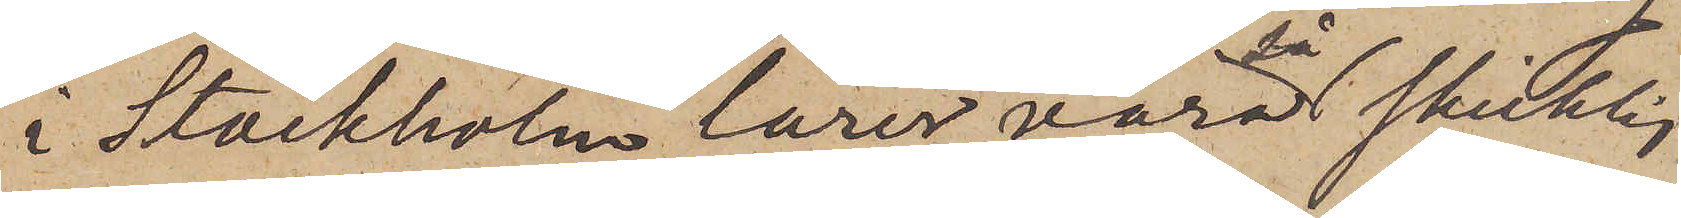i Stockholm lärer vara så skicklig
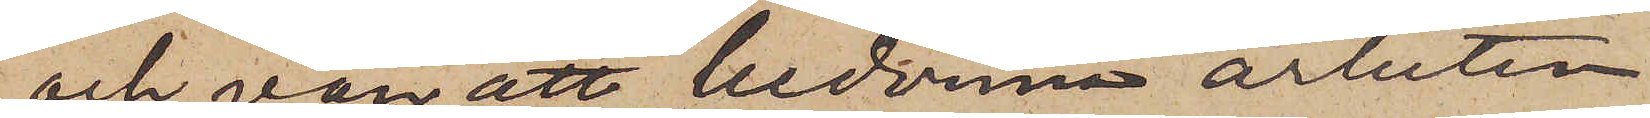och van att bedöma arbeten
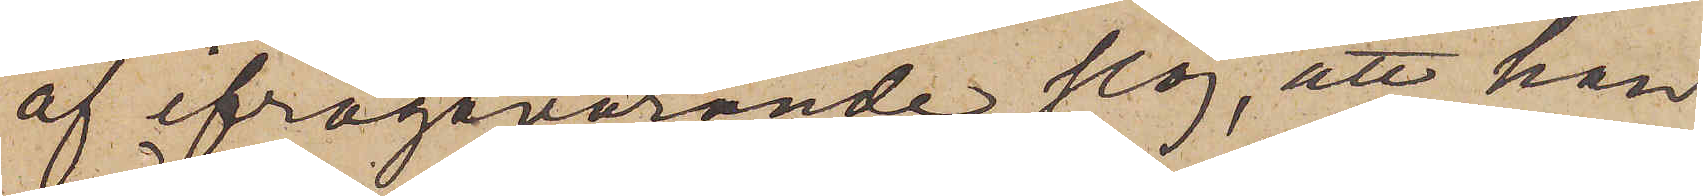af ifrågavarande slag, att han
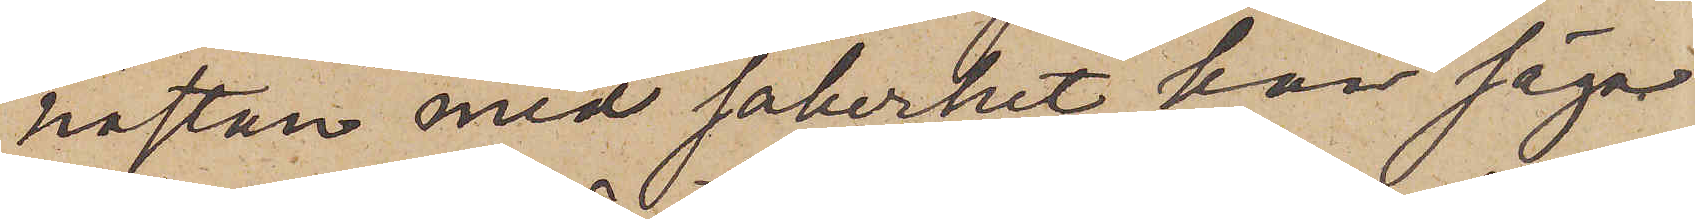nästan med säkerhet kan säga
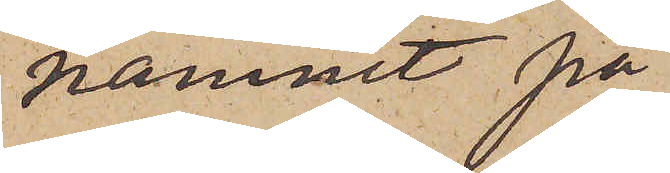namnet på
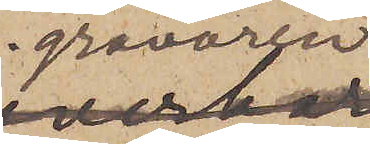gravören
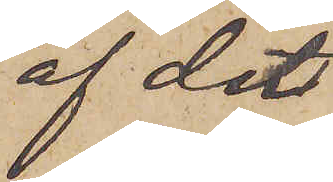af det
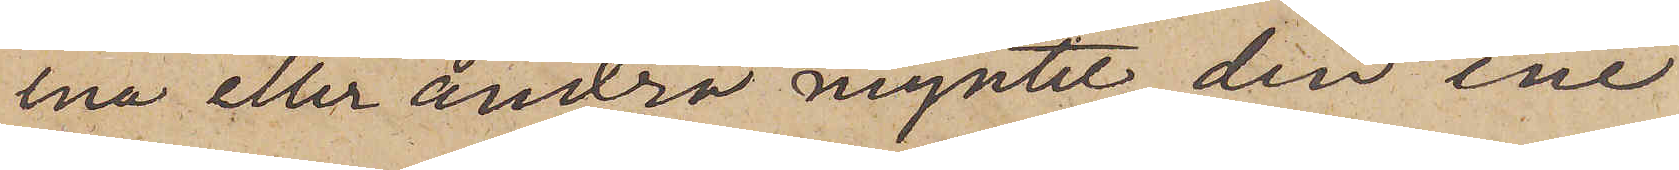ena eller andra myntet, den ene
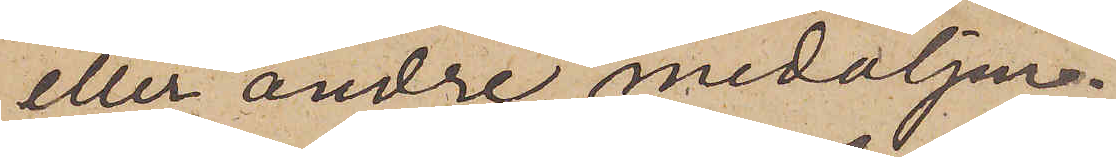eller andre medaljen.
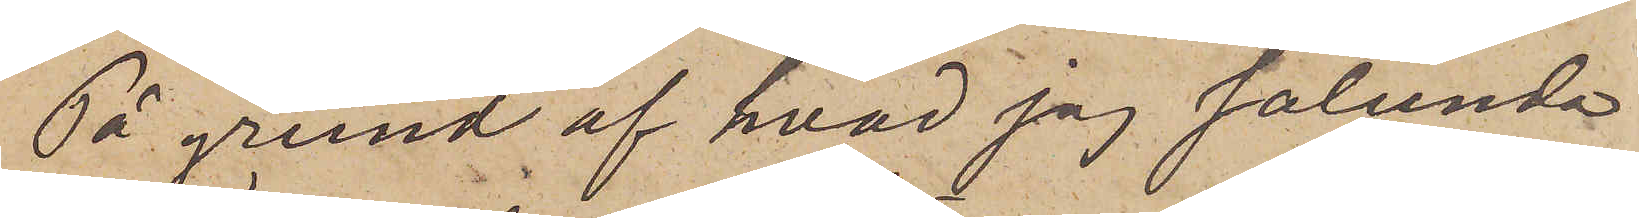På grund af hvad jag sålunda
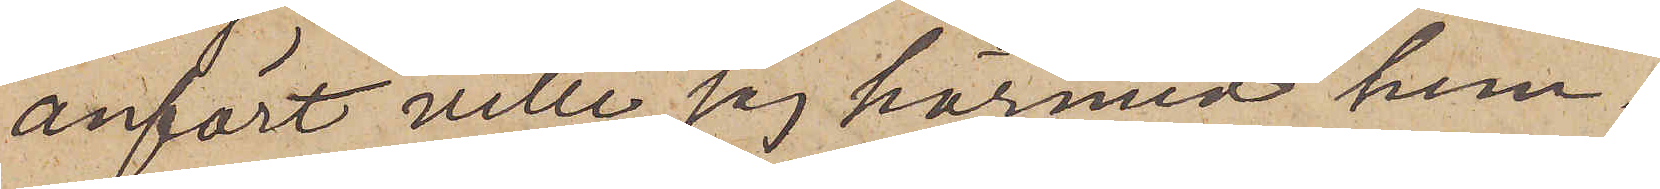anfört ville jag härmed hem¬
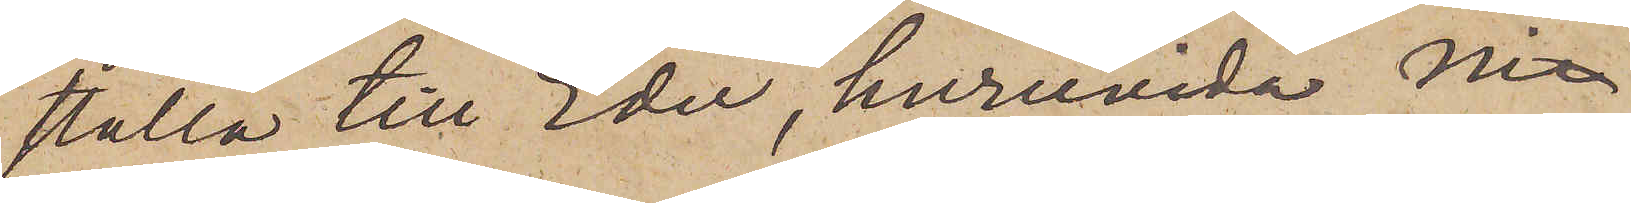ställa till Eder, huruvida Ni
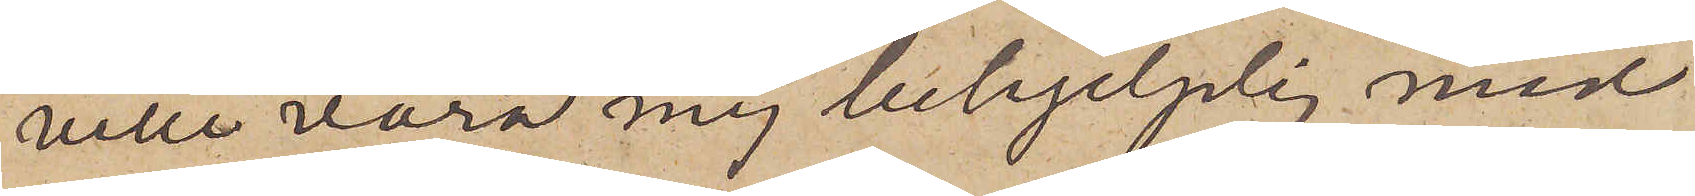ville vara mig behjelplig med
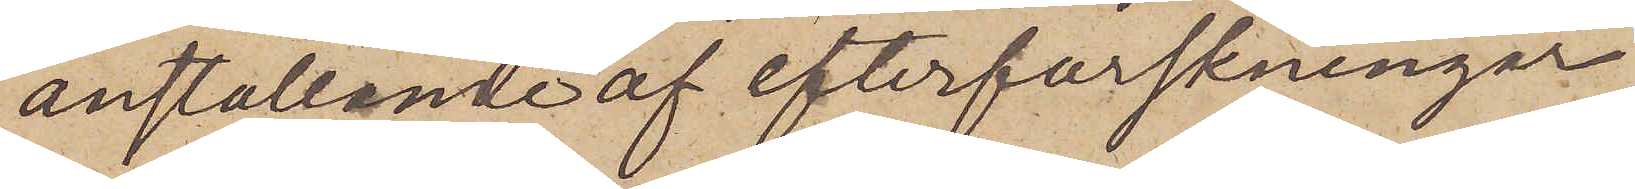anställande af efterforskningar
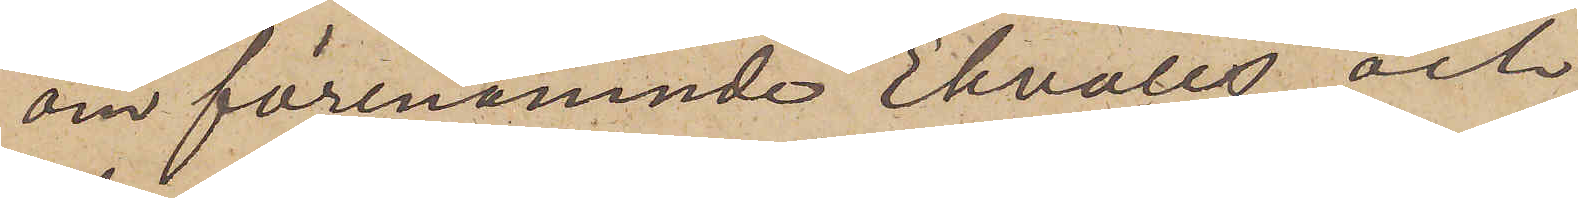om förenämnde Ekvalls och
